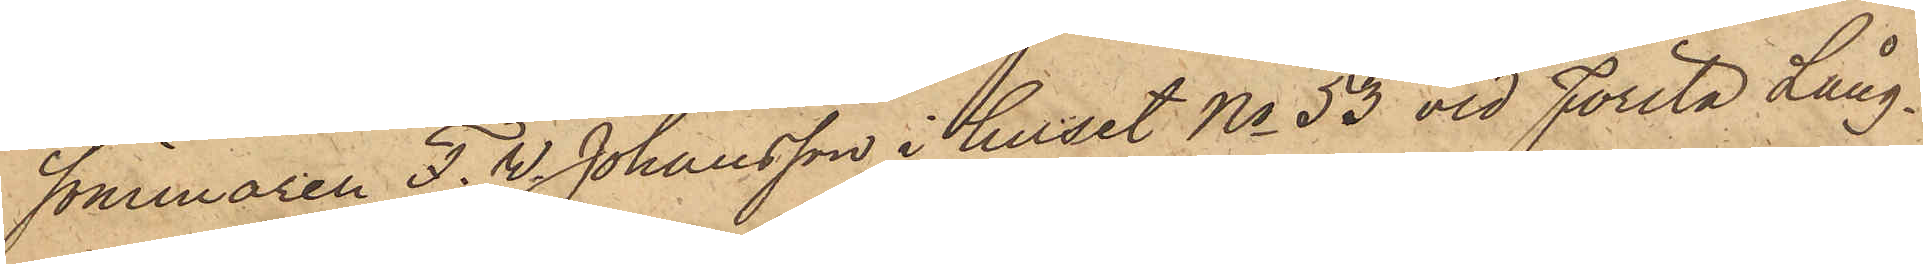sömmaren F. W. Johansson i huset No 53 vid Första Lång¬
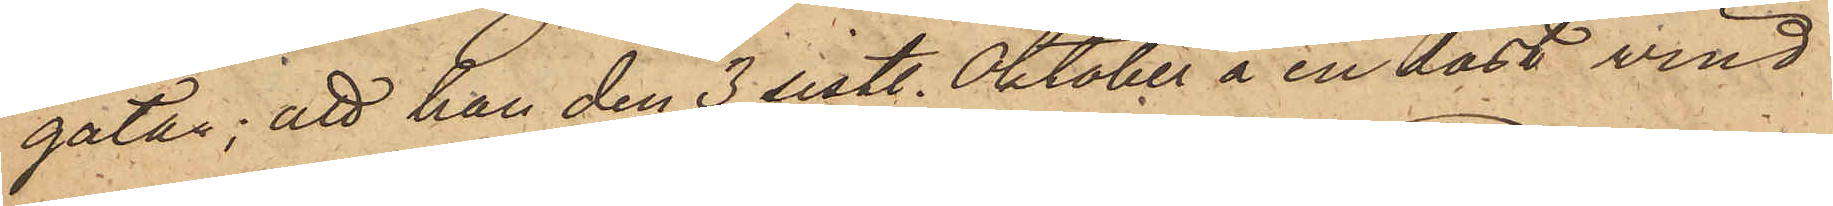gatan; att han den 3 sistl. Oktober å en låst vind
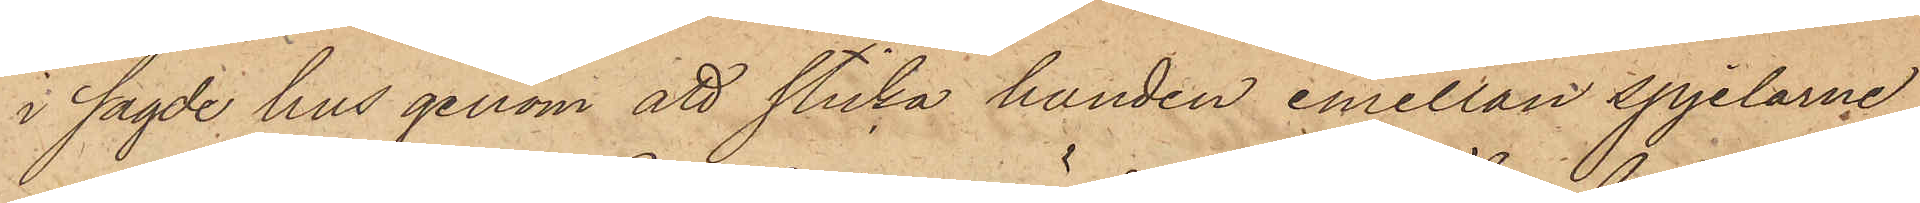i sagde hus genom att sticka handen emellan spjelarne,
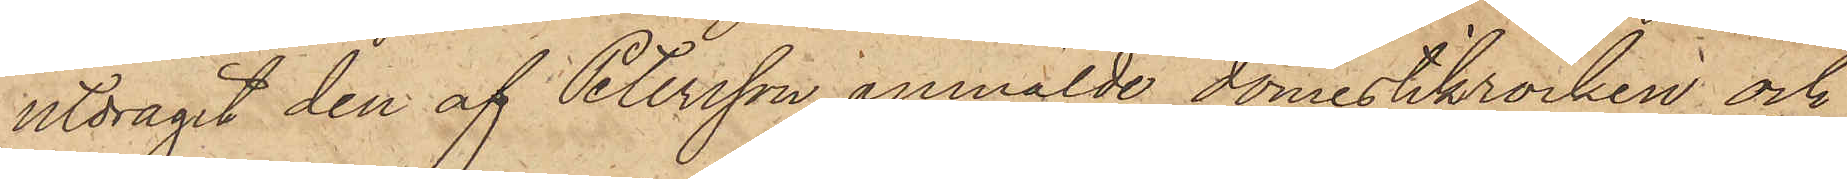utdragit den af Petersson anmälde domestikrocken och
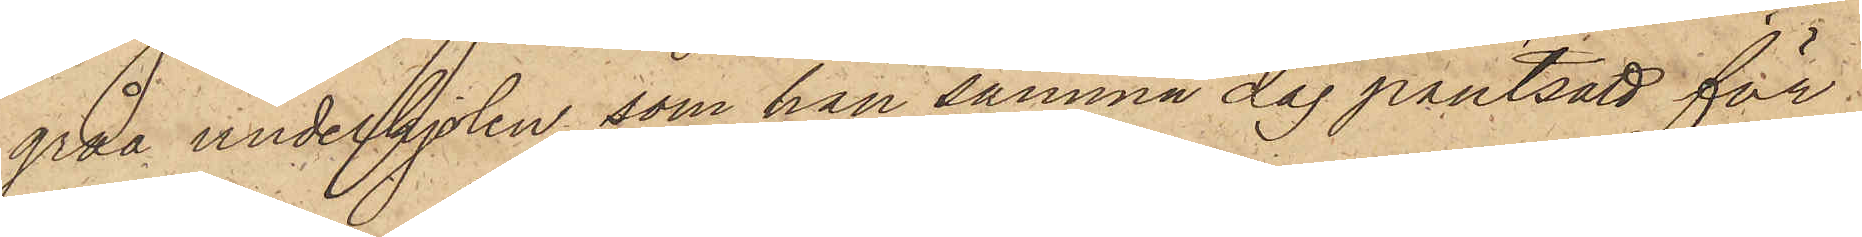gråa underkjolen, som han samma dag pantsatt för
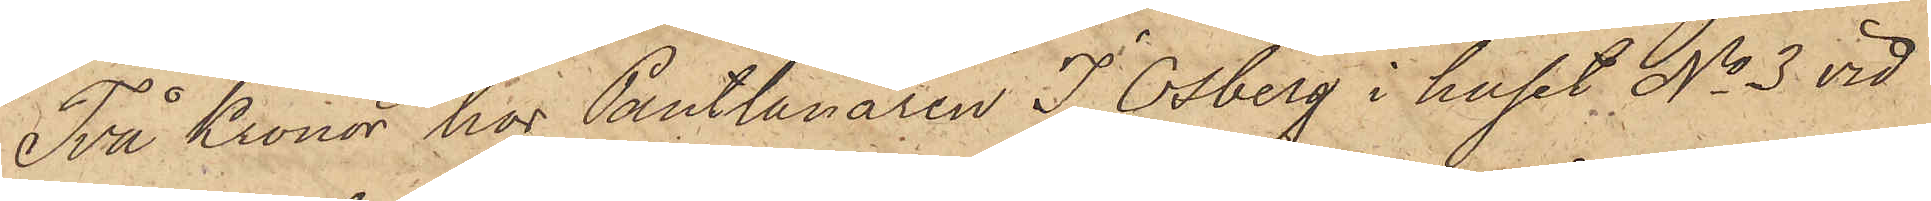Två Kronor hos Pantlånaren J. Osberg i huset No 3 vid
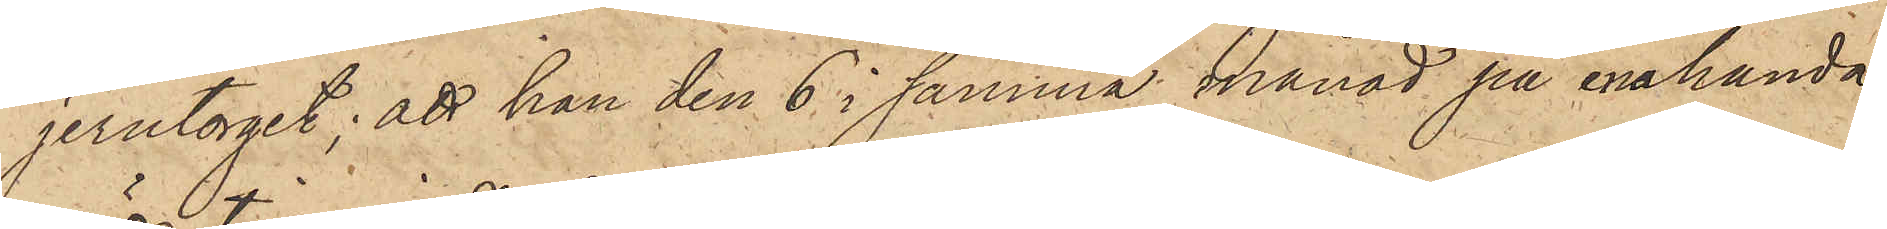jerntorget; att han den 6 i samma månad på enahanda
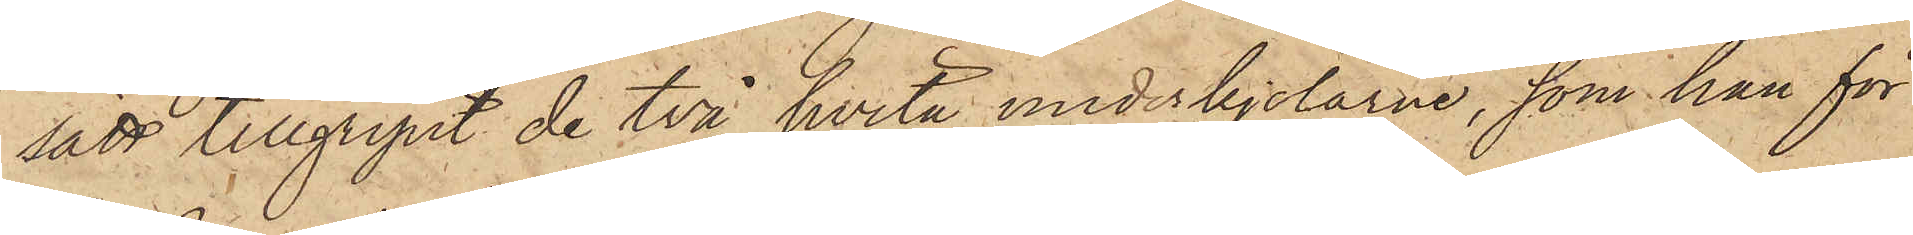sätt tillgripit de två hvita underkjolarne, som han för
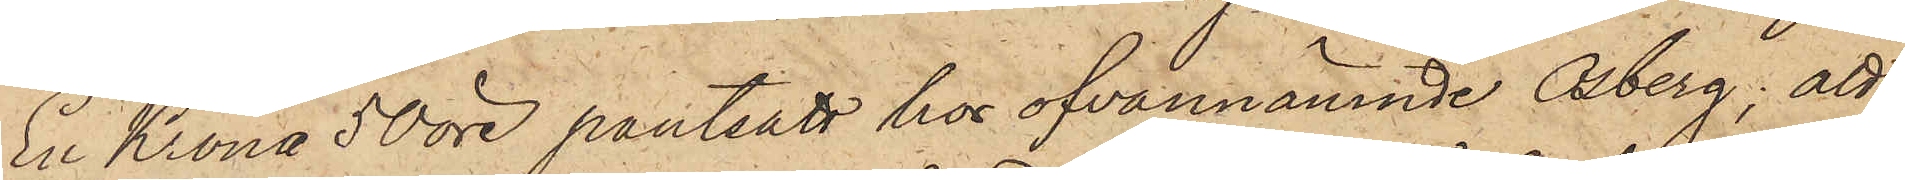En Krona 50 öre pantsatt hos ofvannämnde Osberg; att
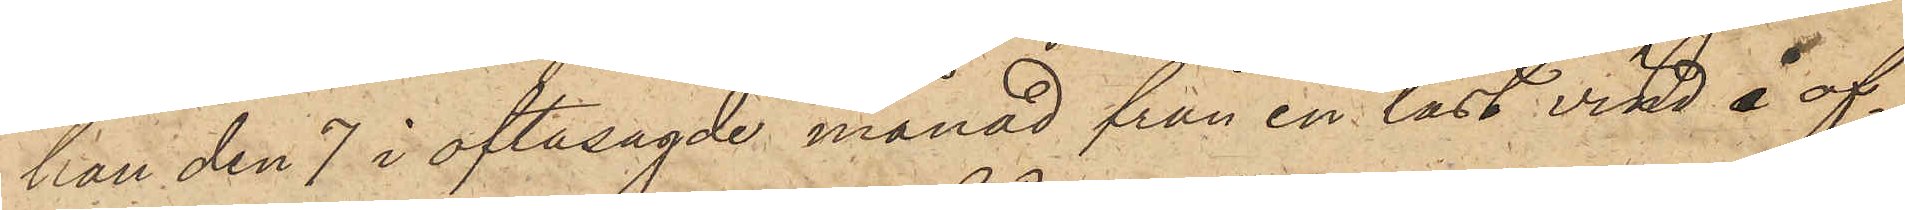han den 7 i oftasagde månad från en låst vind å of¬
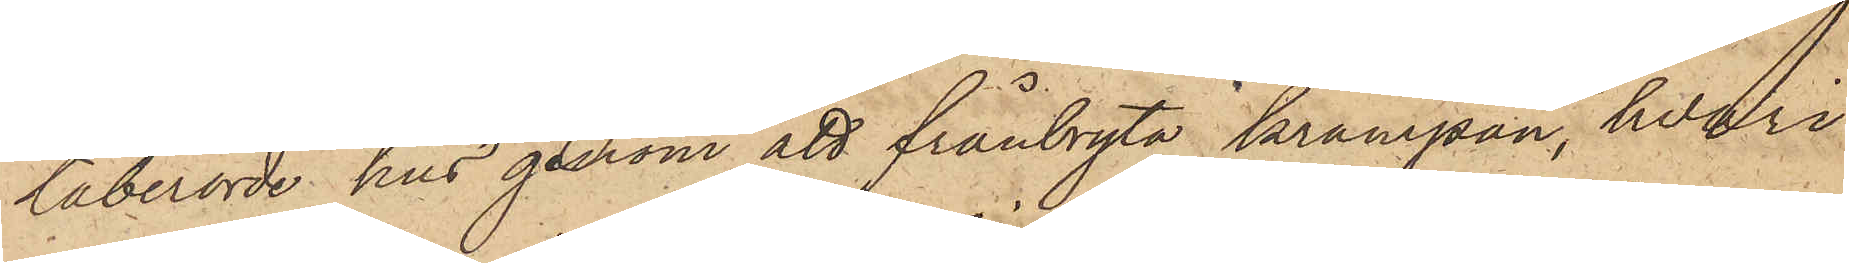taberörde hus genom att frånbryta krampan, hvari
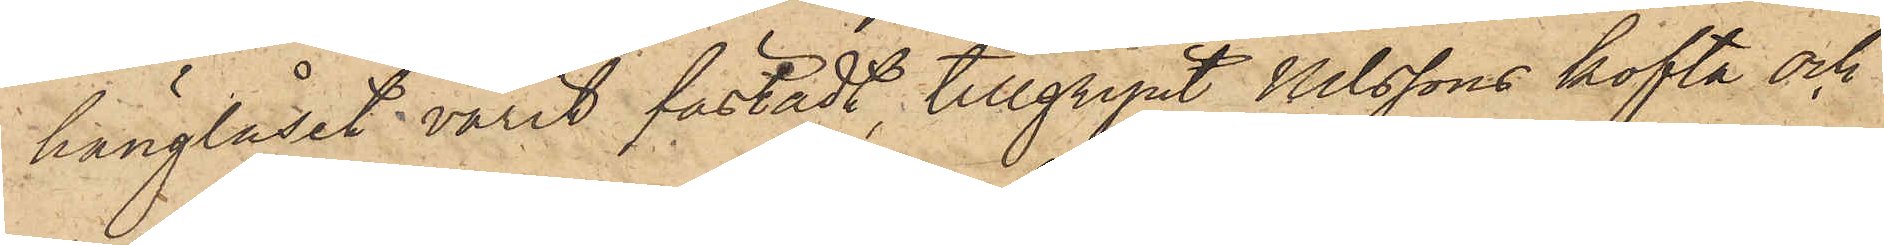hänglåset varit fästadt, tillgripit Nilssons kofta och
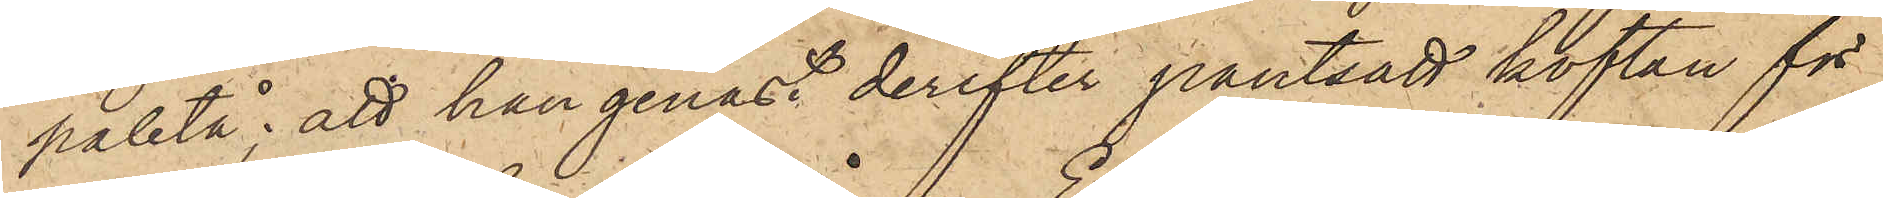paletå; att han genast derefter pantsatt koftan för
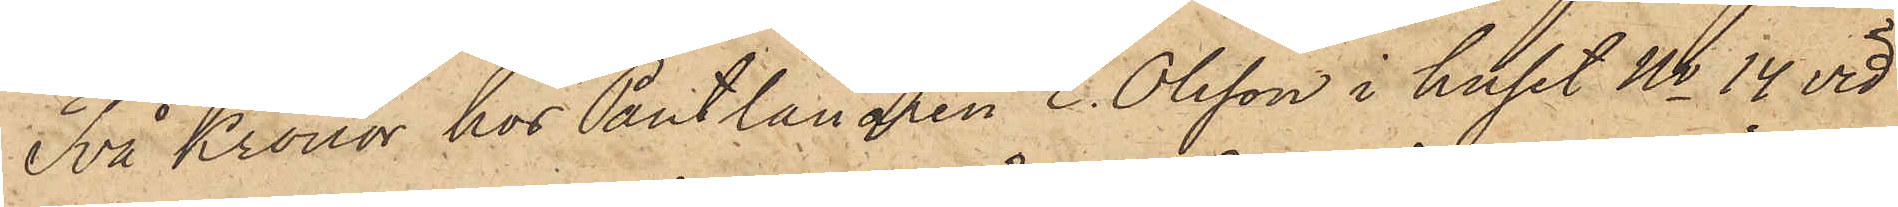Två Kronor hos Pantlånaren E. Olsson i huset No 14 vid
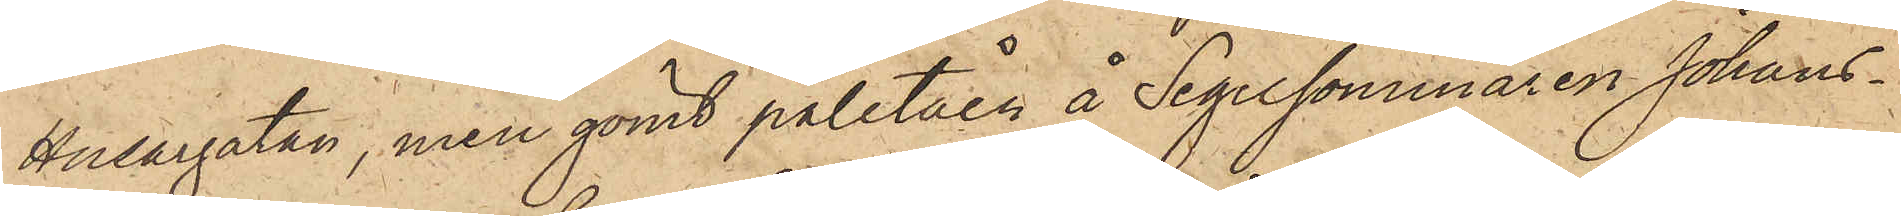Husargatan, men gömt paletåen å Segelsömmaren Johans¬
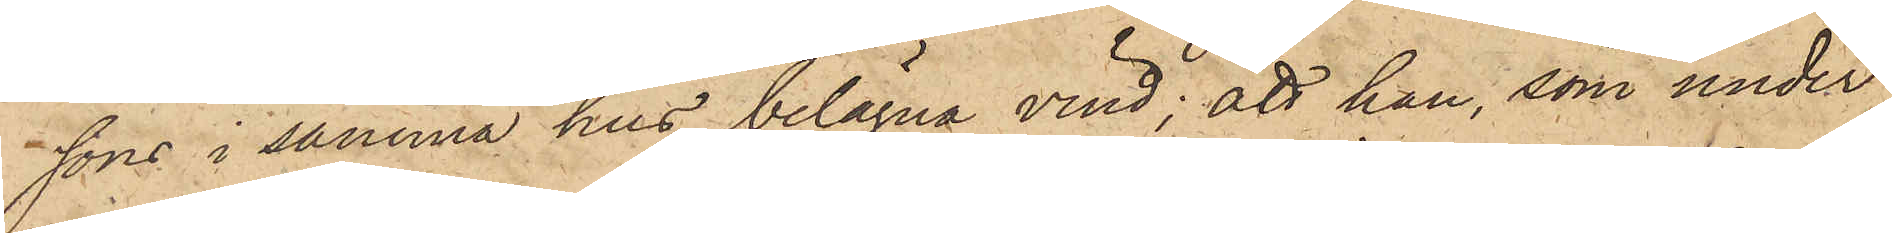sons i samma hus belägna vind; att han, som under
